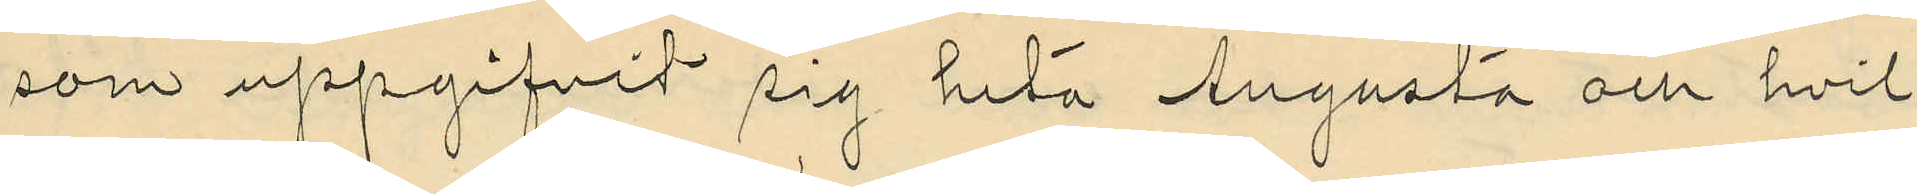som uppgifvit sig heta Augusta och hvil¬
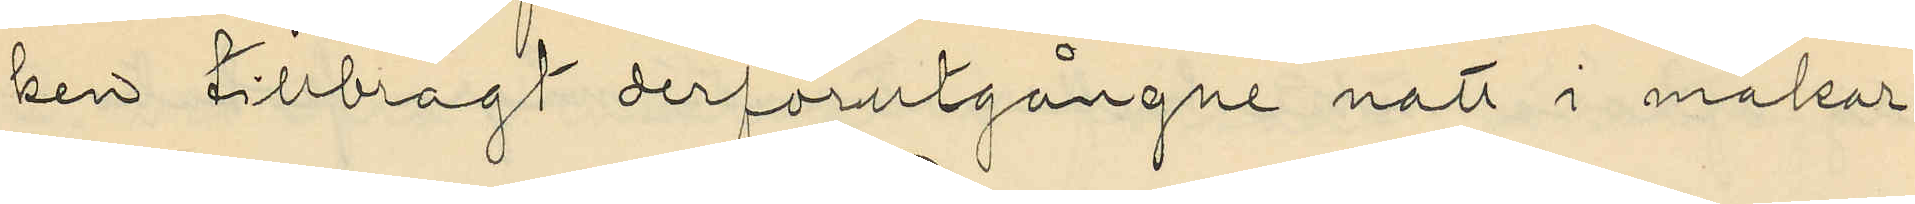ken tillbragt derförutgångne natt i makar¬
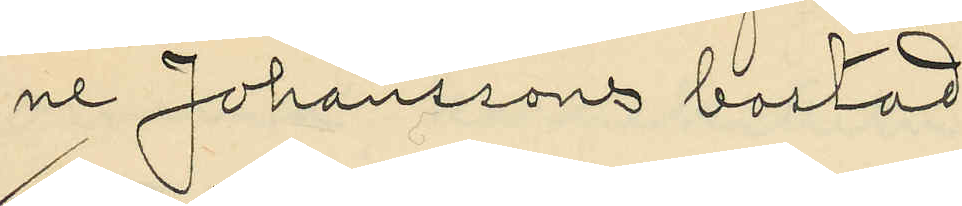ne Johanssons bostad.
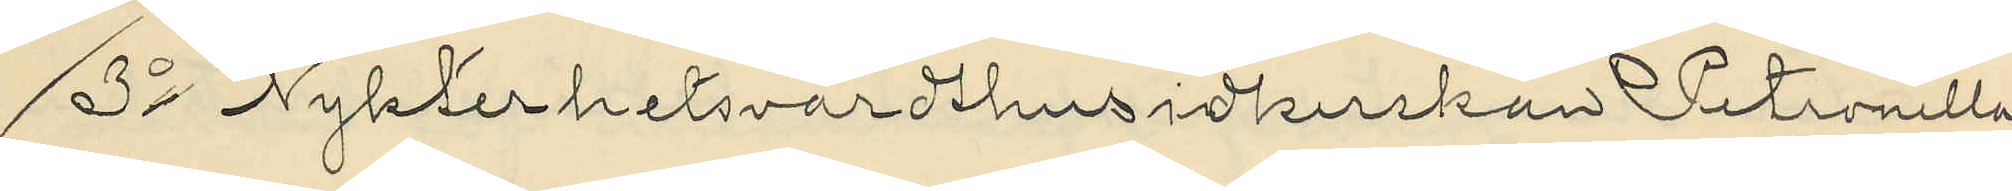3o Nykterhetsvärdshusidkerskan Petronella
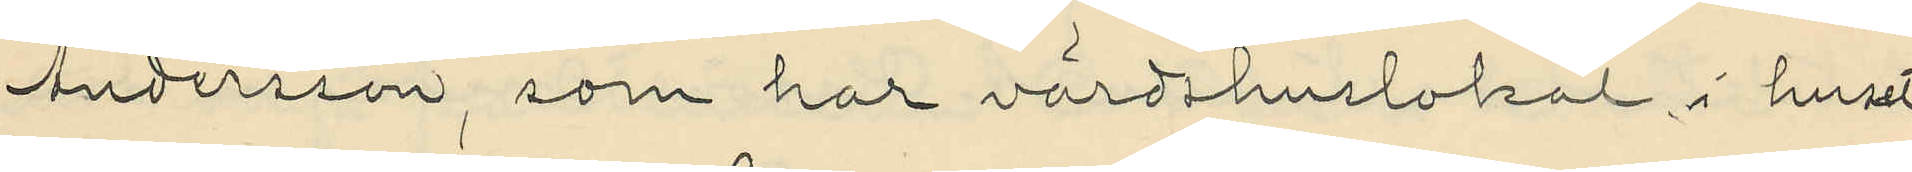Andersson, som har värdshuslokal i huset
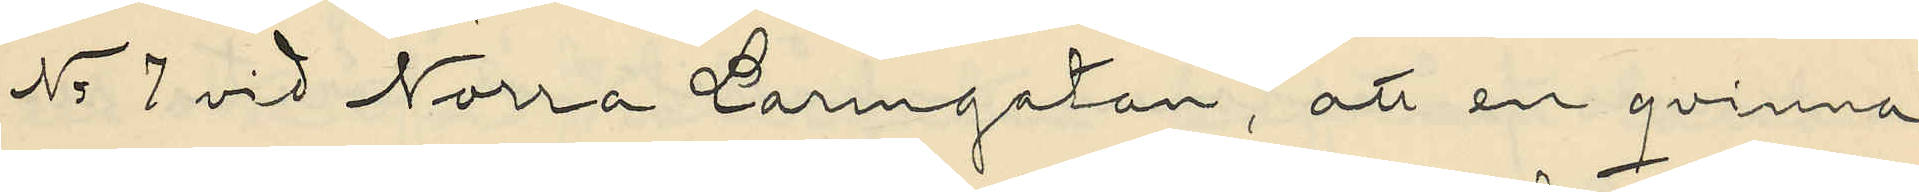No 7 vid Norra Larmgatan, att en qvinna
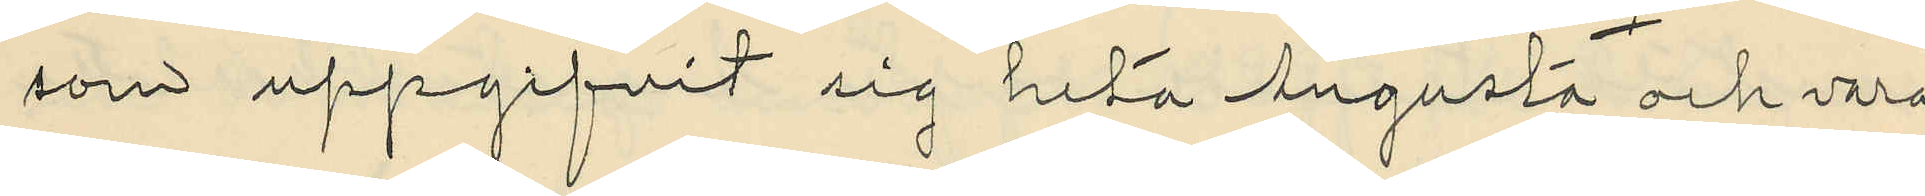som uppgifvit sig heta Augusta och vara
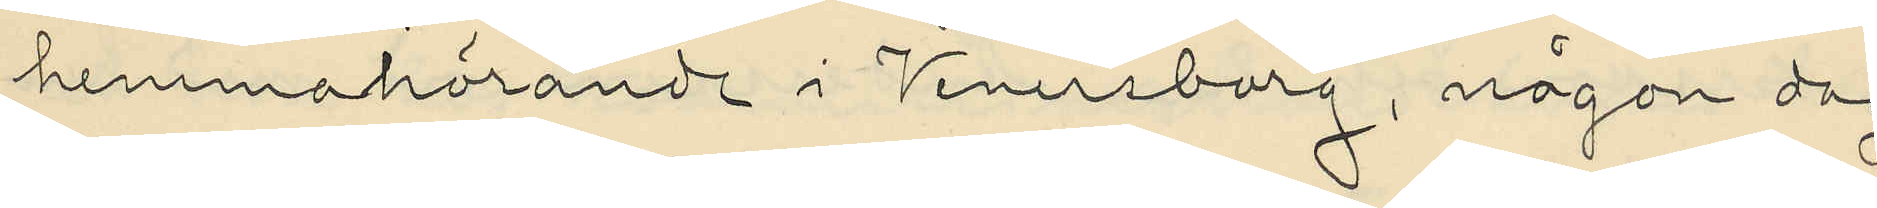hemmahörande i Venersborg, någon dag
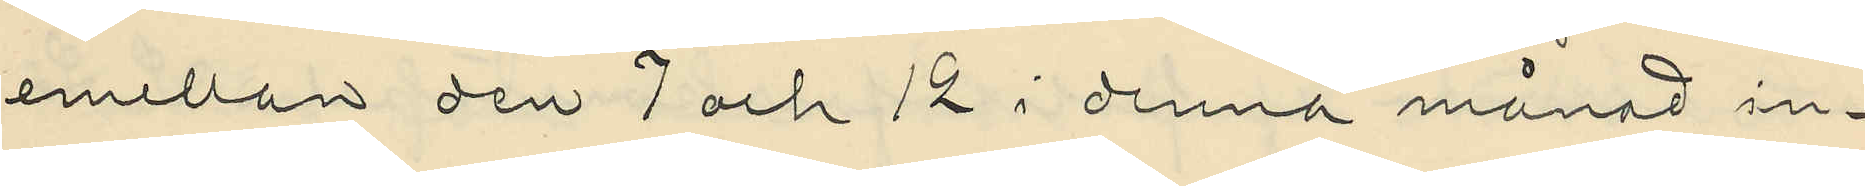emellan den 7 och 12 i denna månad in¬
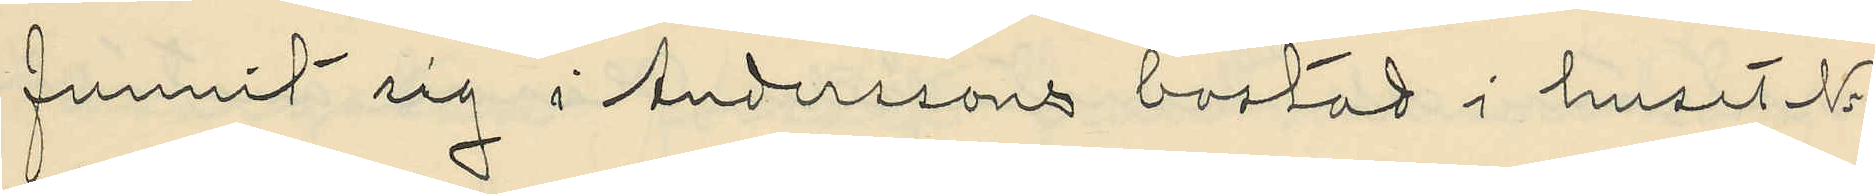funnit sig i Anderssons bostad i huset No 8
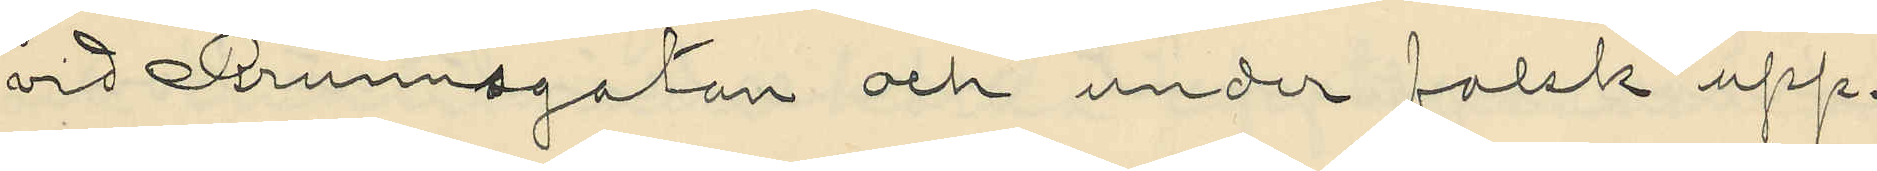vid Brunnsgatan och under falsk upp¬
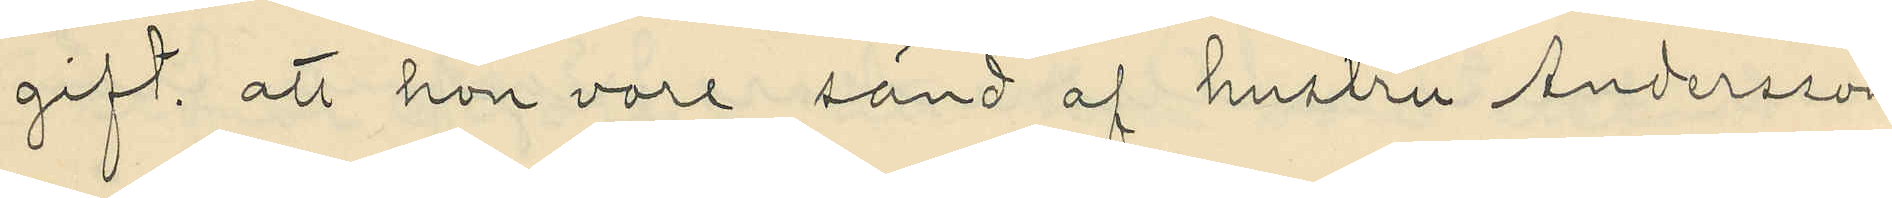gift, att hon vore sänd af hustru Andersson
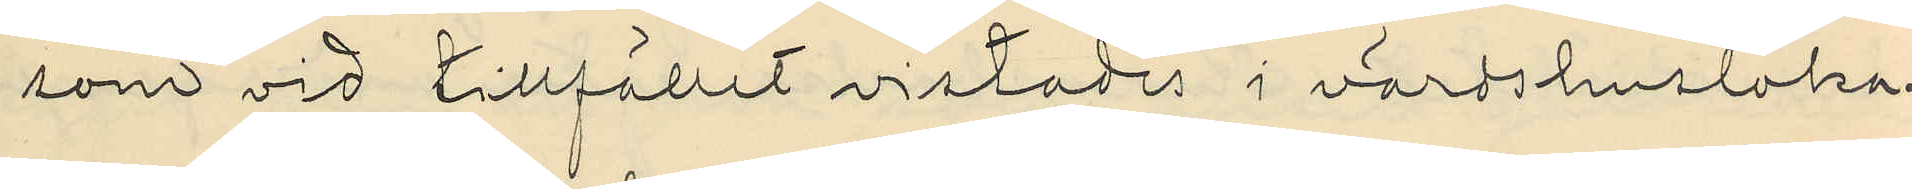som vid tillfället vistades i värdshusloka¬
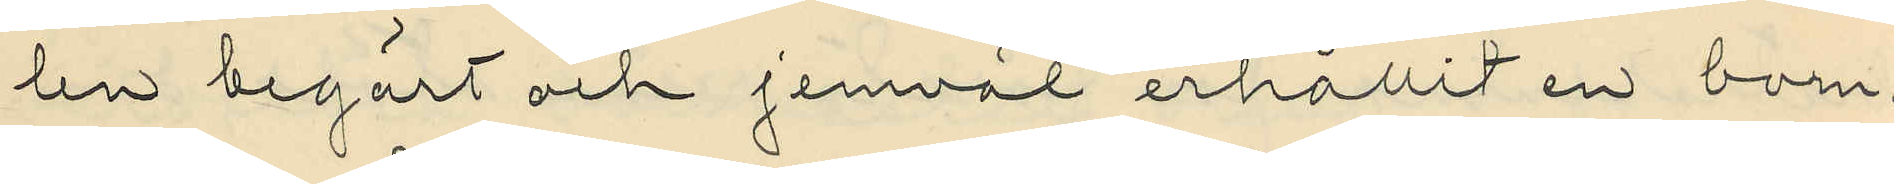len begärt och jemväl erhållit en bom¬
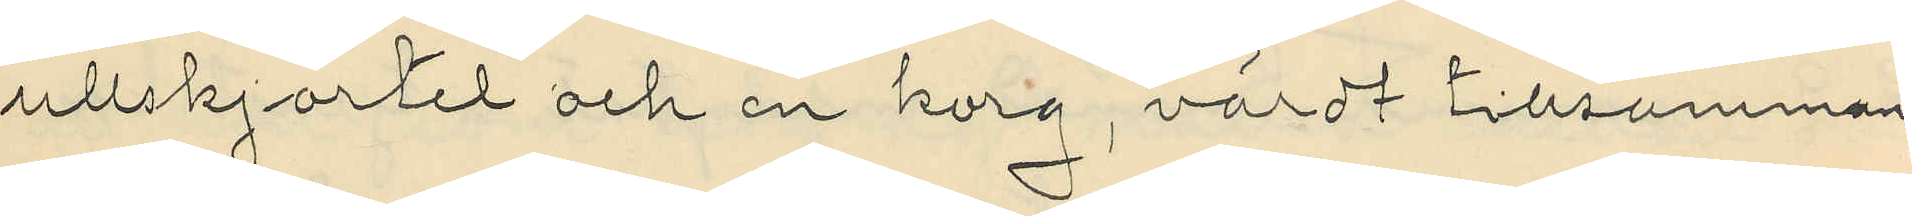ullskjortel och en korg, värdt tillsammans
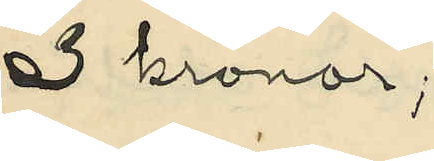3 kronor;
